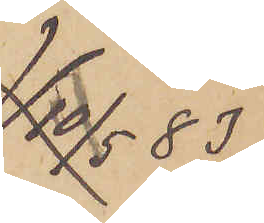10/5 83
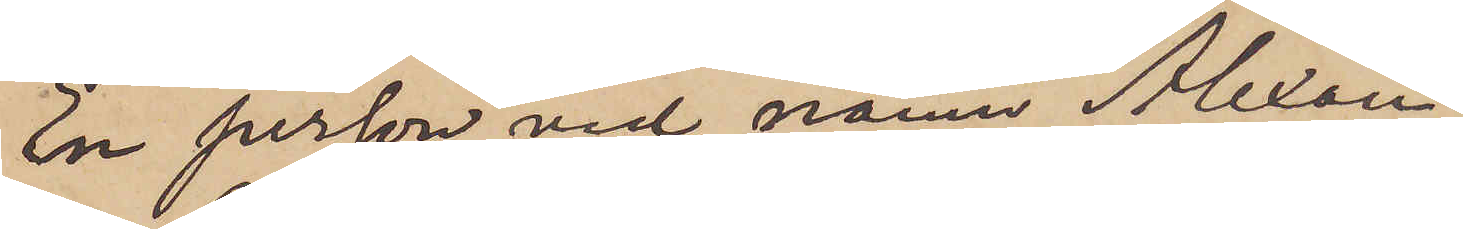En person vid namn Alexan¬
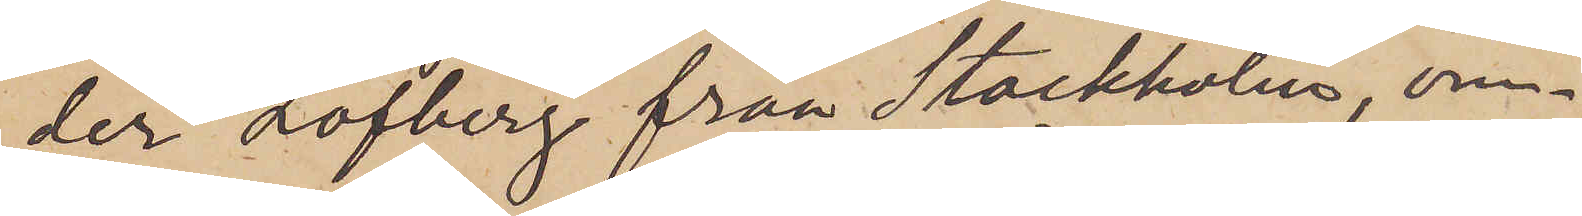der Löfberg från Stockholm, om¬
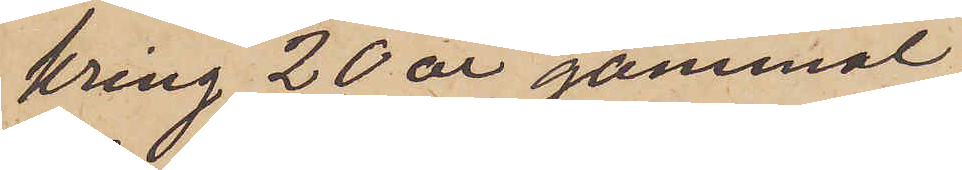kring 20 år gammal,
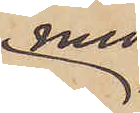med
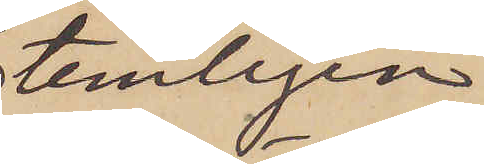temligen
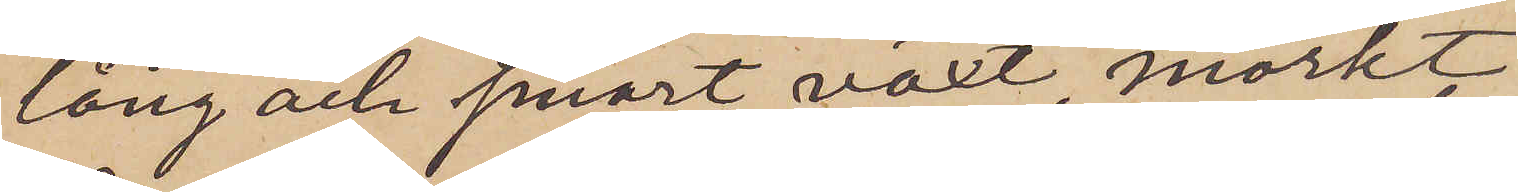lång och smärt växt, mörkt
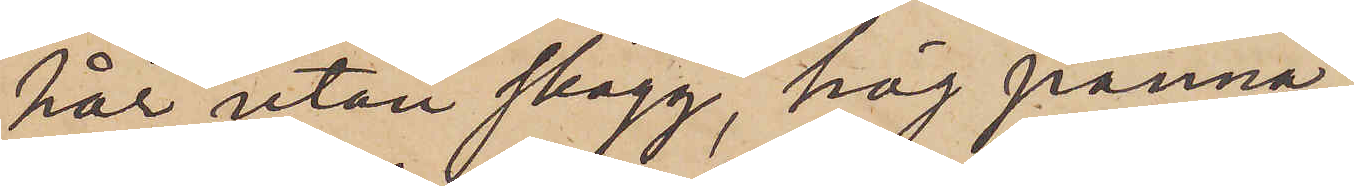hår utan skägg, hög panna,
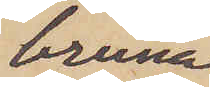bruna
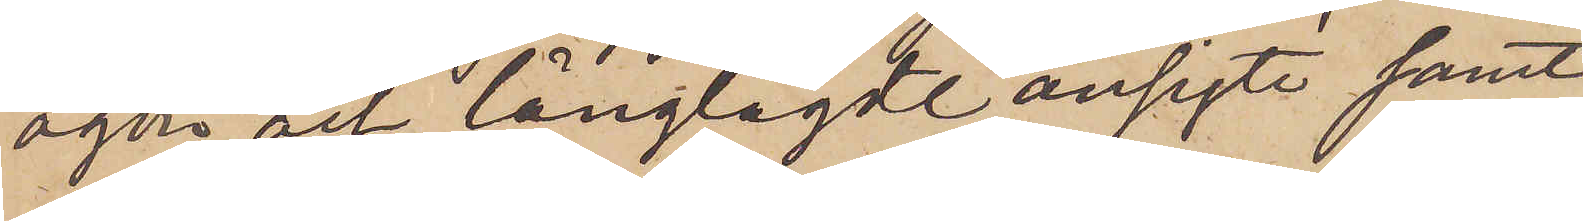ögen och långlagdt ansigte samt
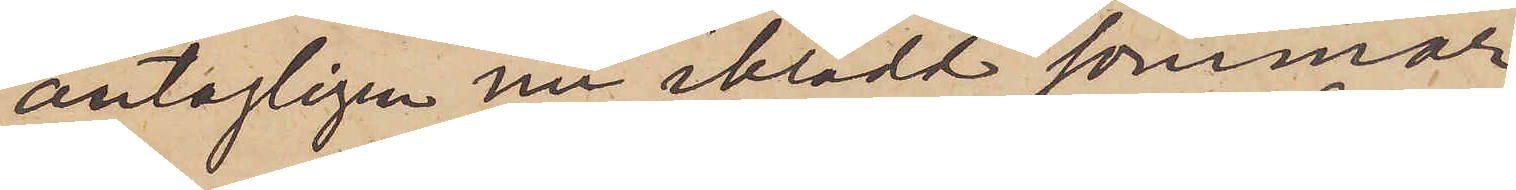antagligen nu iklädt sommar¬
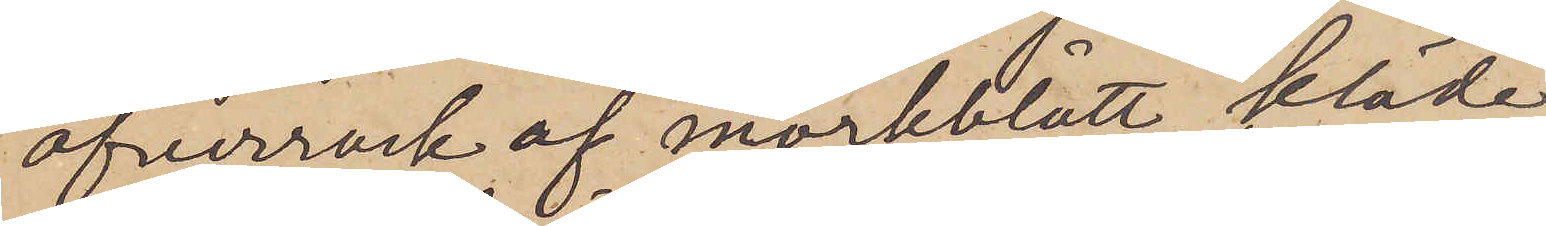öfverrock af mörkblått kläde
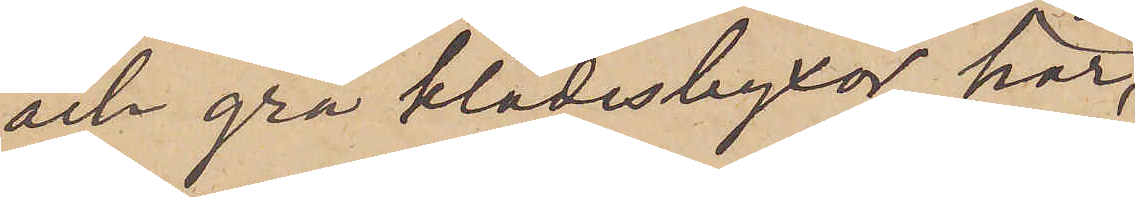och grå klädesbyxor, har,
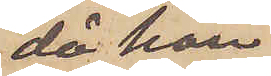då han
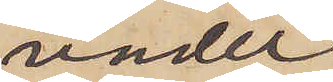under
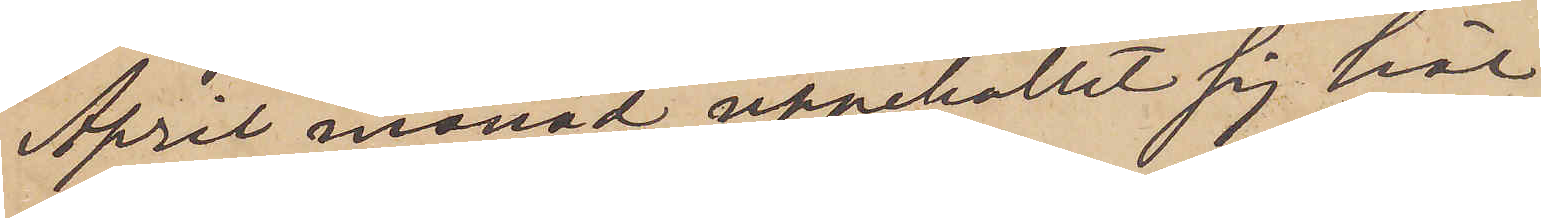April månad uppehållit sig här
